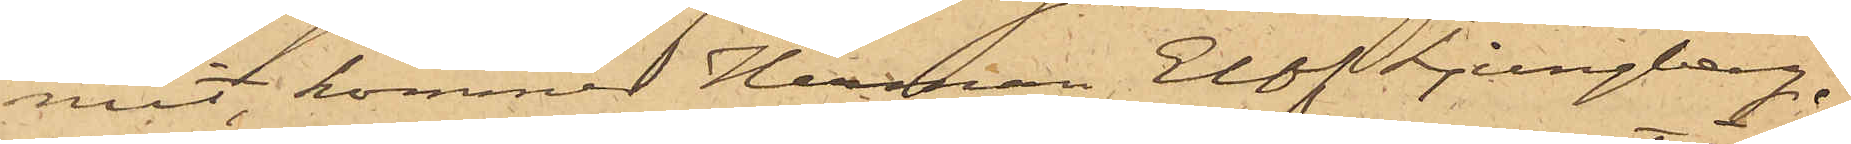mit, kommer Herman Elof Ljungberg,
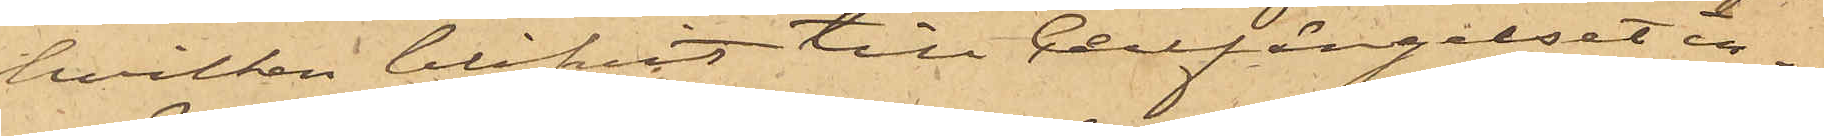hvilken blifvit till Cellfängelset in¬
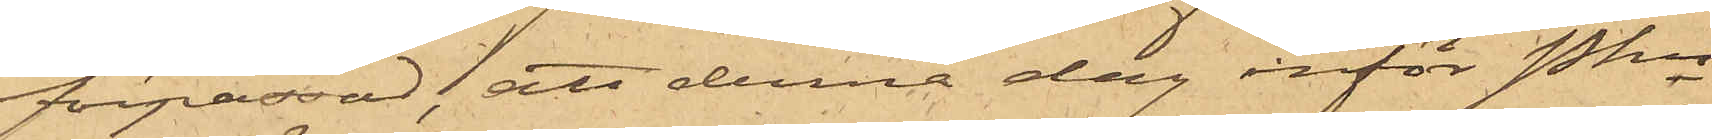förpassad, att denna dag inför Pkn
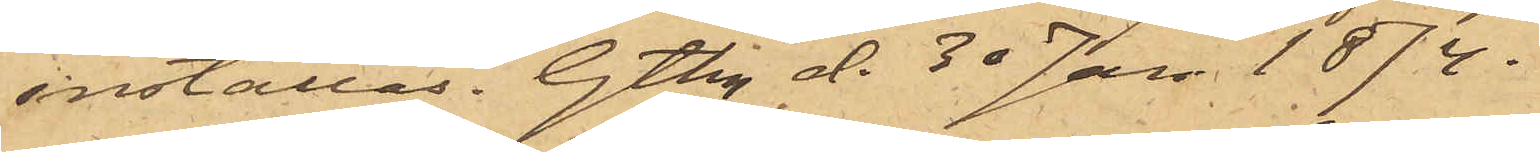inställas. Gtbg d. 30 Jan. 1874.
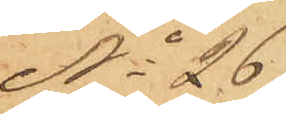No 26
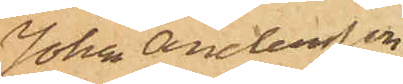Johan Andersson
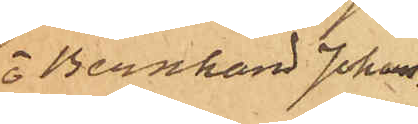o Bernhard Johans¬
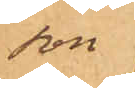son
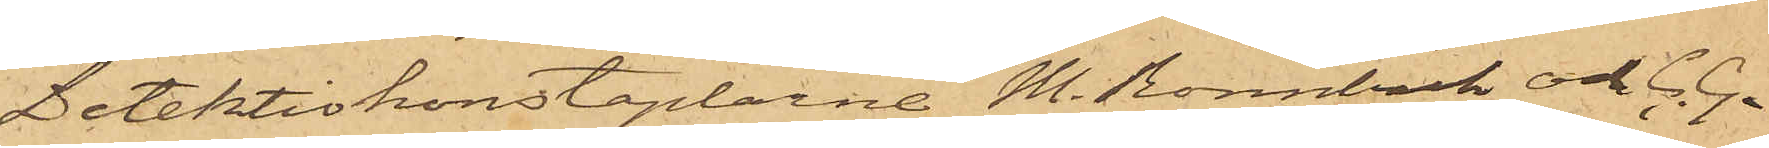Detektivkonstaplarne M. Rönnbäck och C. G.
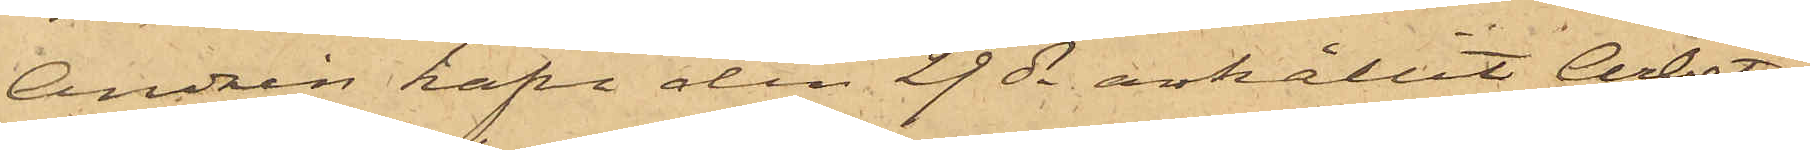Andrén hafva den 29 ds anhållit Arbets¬
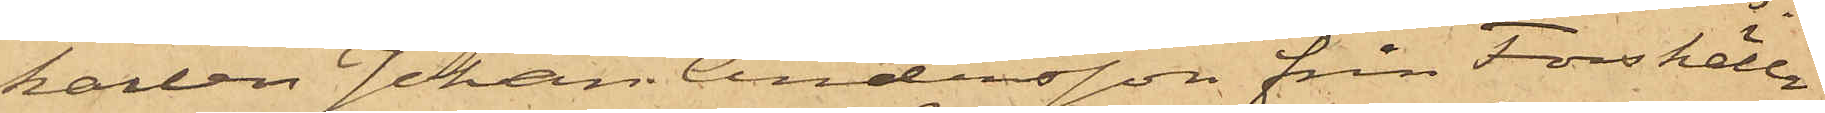karlen Johan Andersson från Forshälla
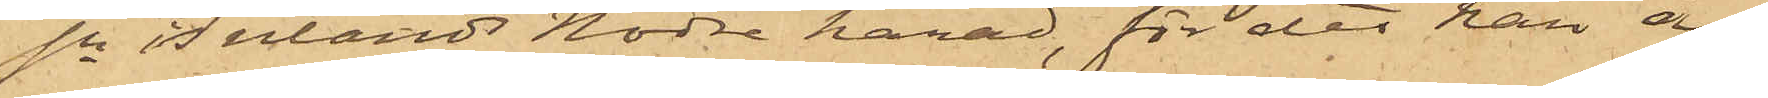sn Inlands Nodre härad, för det han å
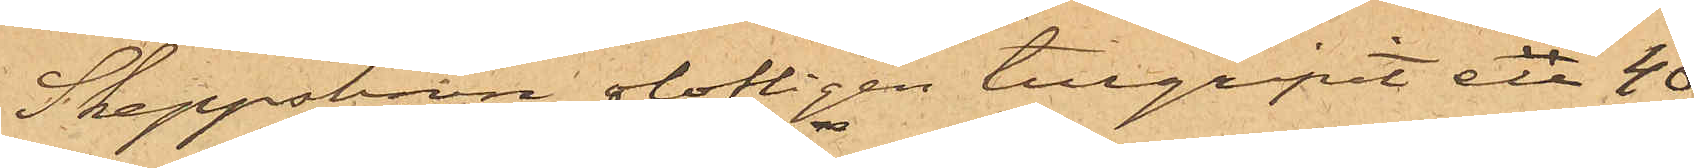Skeppsbron olofligen tillgripit en 40
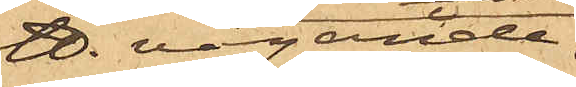℔. vägande
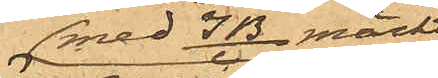med IB/C märkt
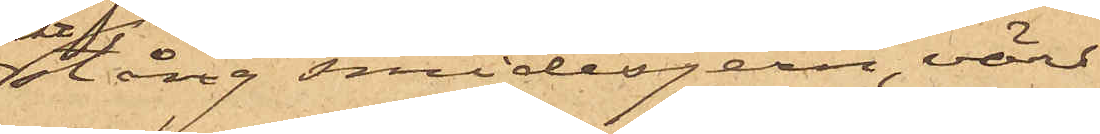stång smidesjern, värd
